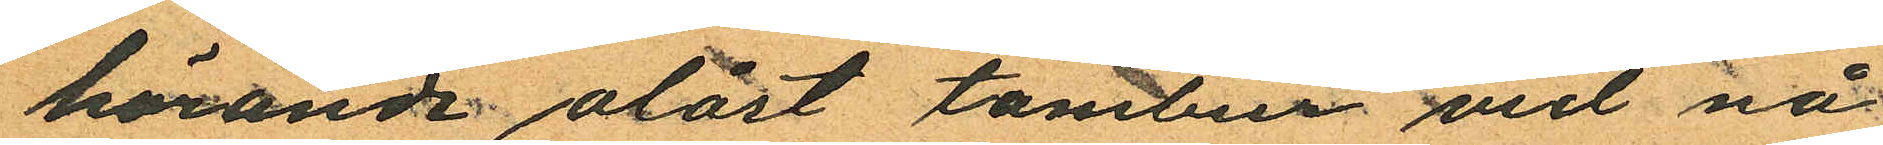hörande olåst tambur vid nå¬
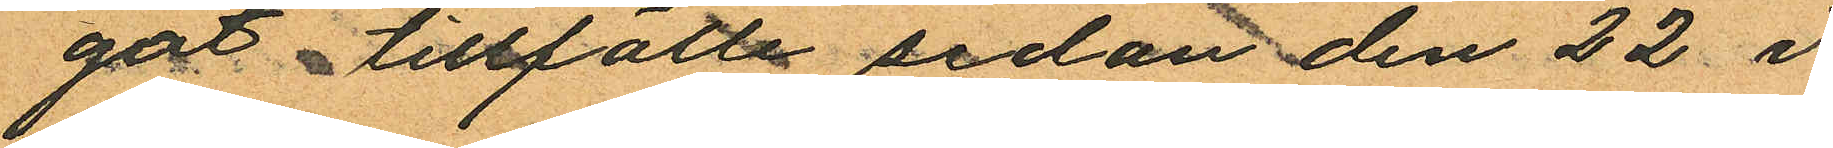got tillfälle sedan den 22 i
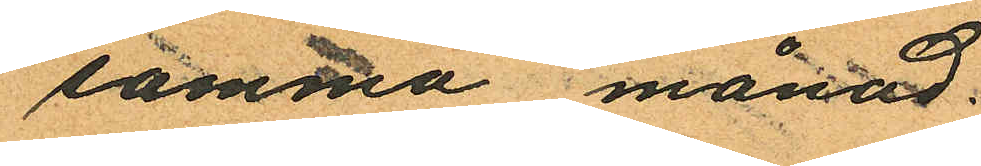samma månad;
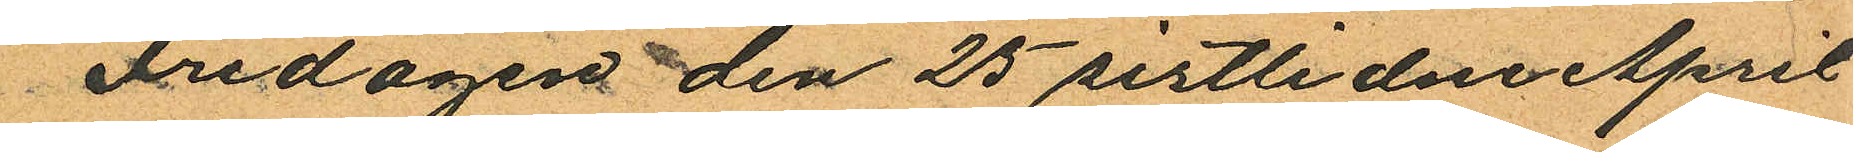Fredagen den 25 sistlidne April
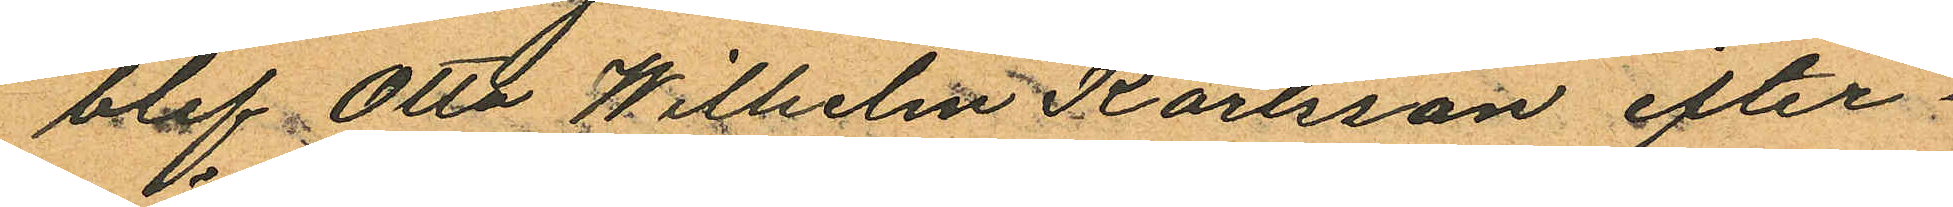blef Otto Wilhelm Karlsson efter¬
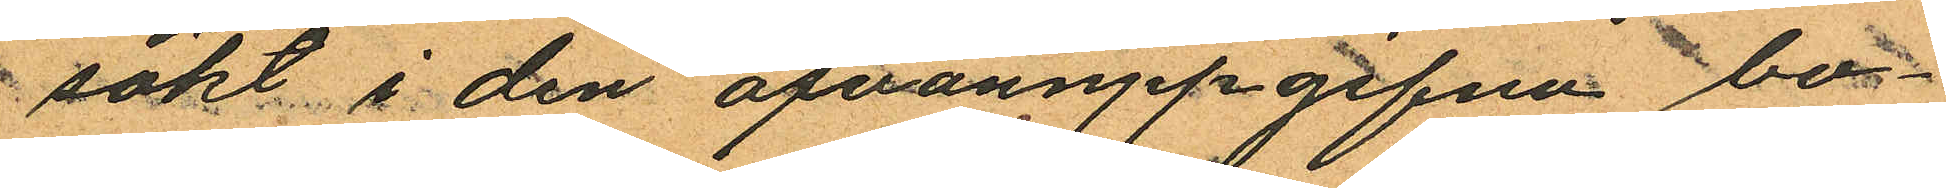sökt i den ofvanuppgifna bo¬
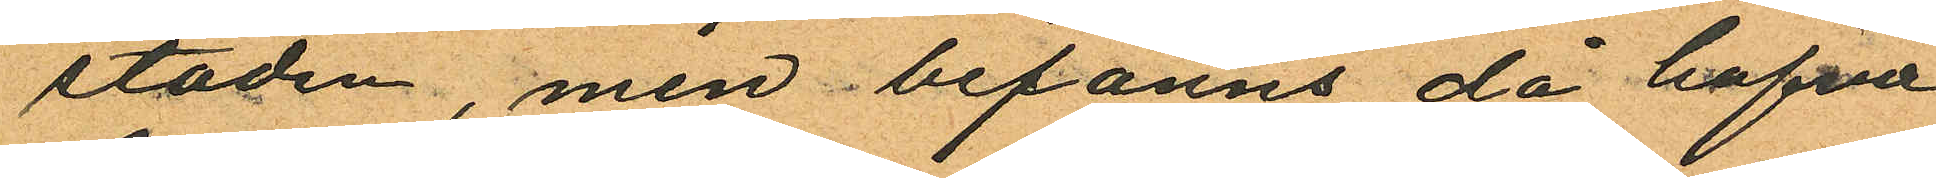staden, men befanns då hafva
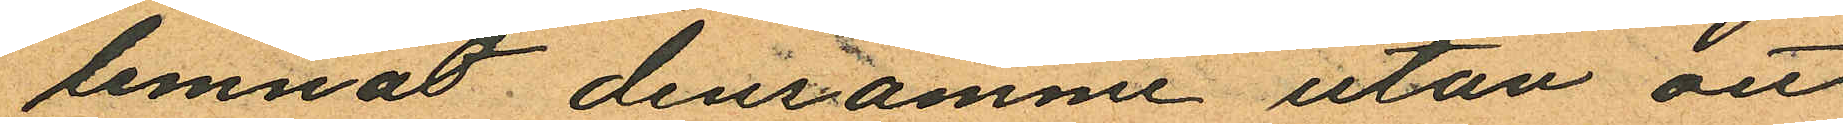lemnat densamme utan att
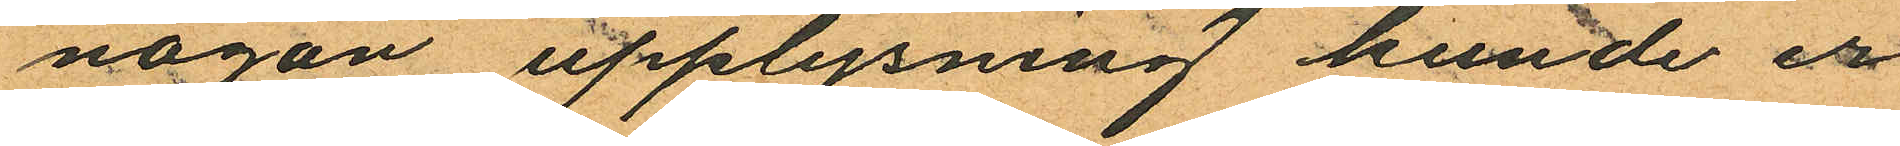någon upplysning kunde er¬
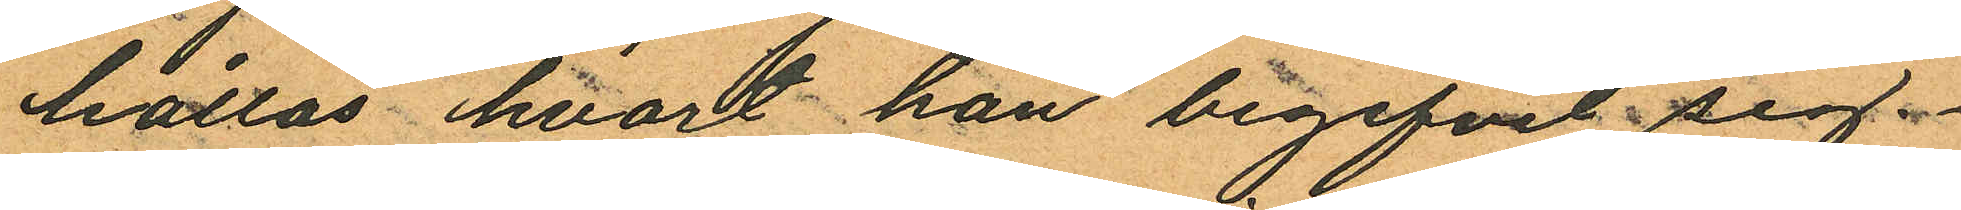hållas, hvart han begifvit sig.
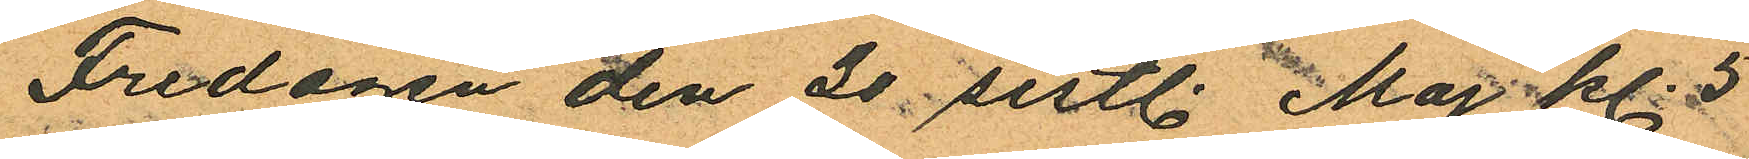Fredagen den 20 sistl. Maj kl. 5
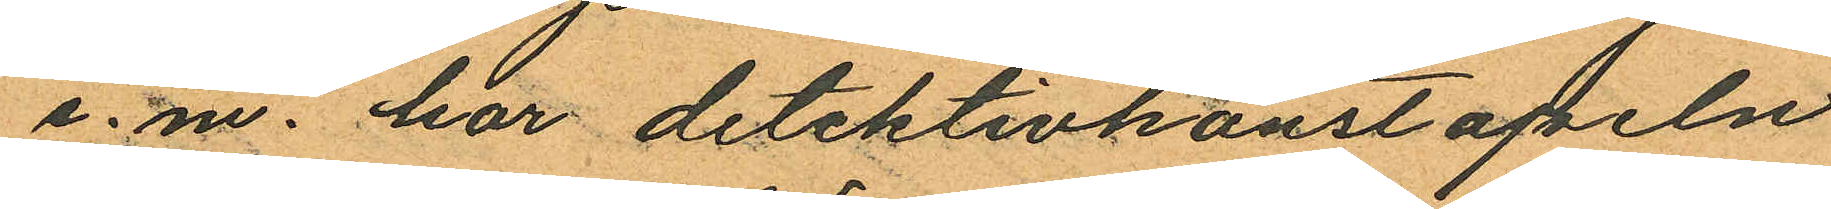e.m. har detektivkonstapeln
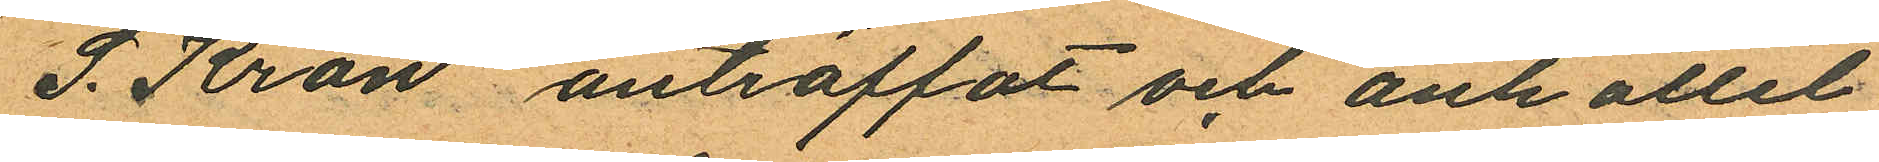S. Kron anträffat och anhållit
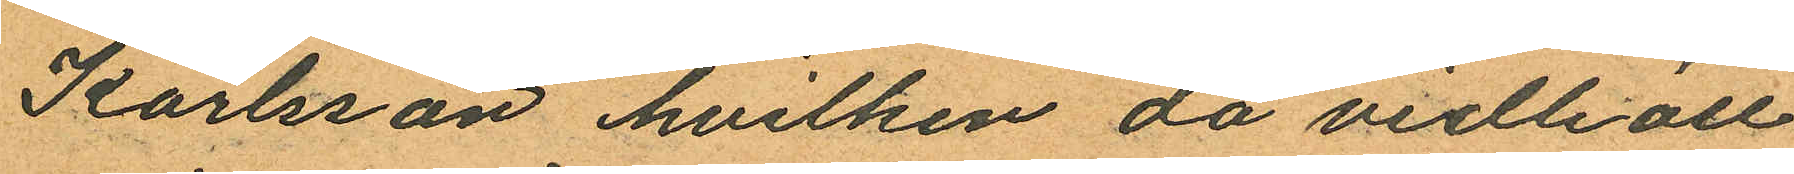Karlsson hvilken då vidhöll
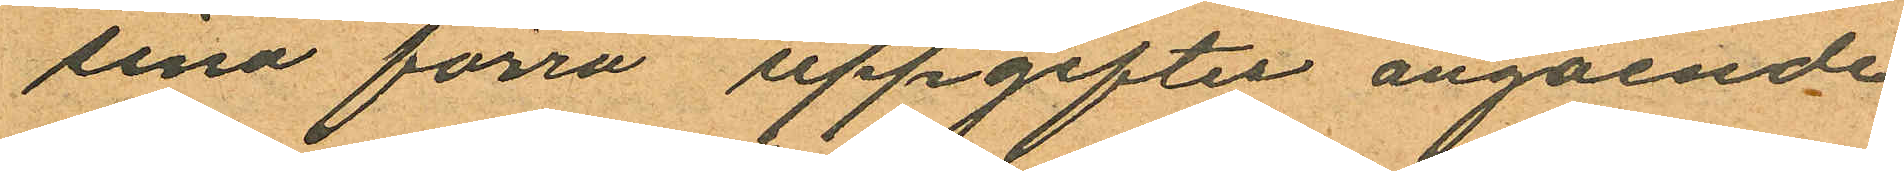sina förra uppgifter angående
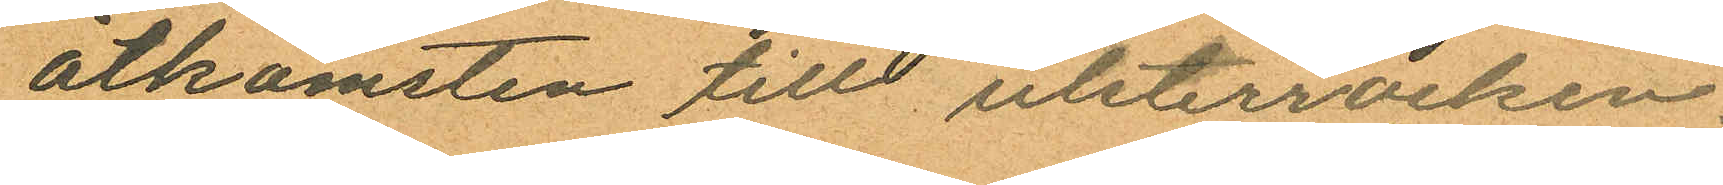åtkomsten tilll ulsterrocken.
